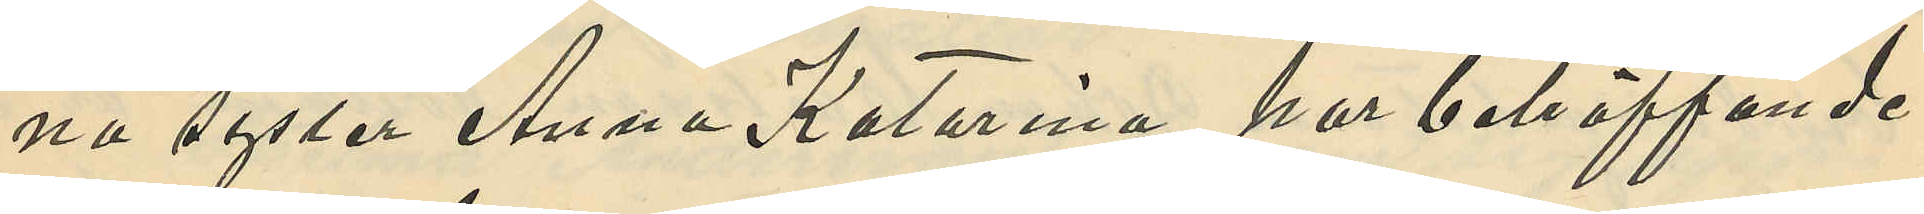na syster Anna Katarina har beträffande
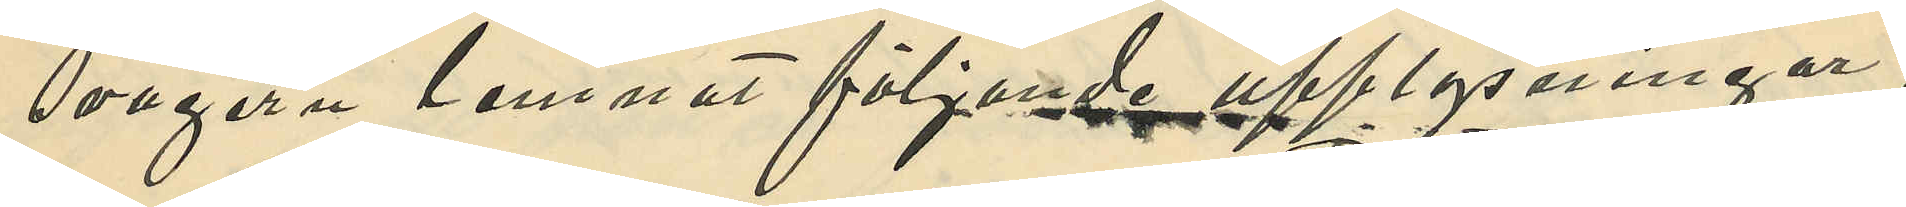svågern lemnat följande upplysningar,
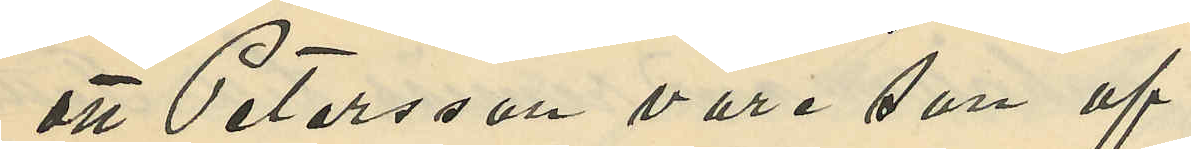att Petersson vore son af
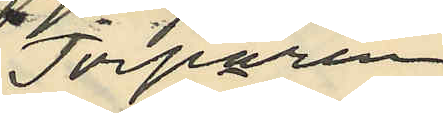Torparen
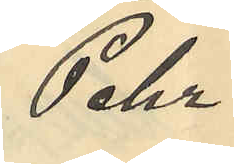Pehr
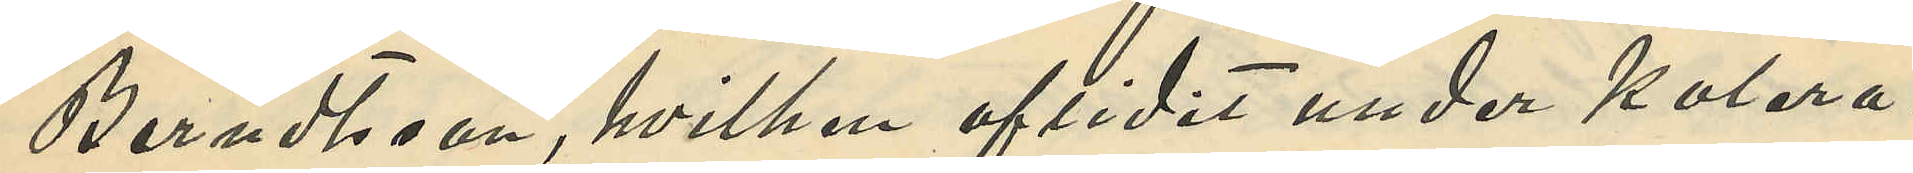Berndtsson, hvilken aflidit under kolera
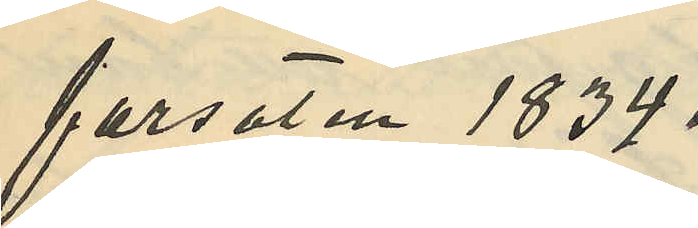farsoten 1834
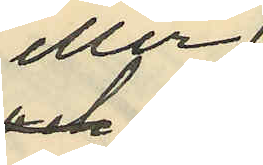eller
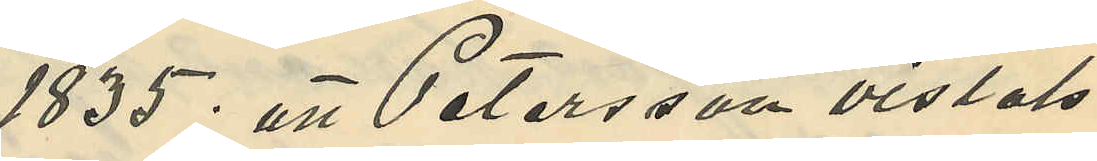1835; att Petersson vistats
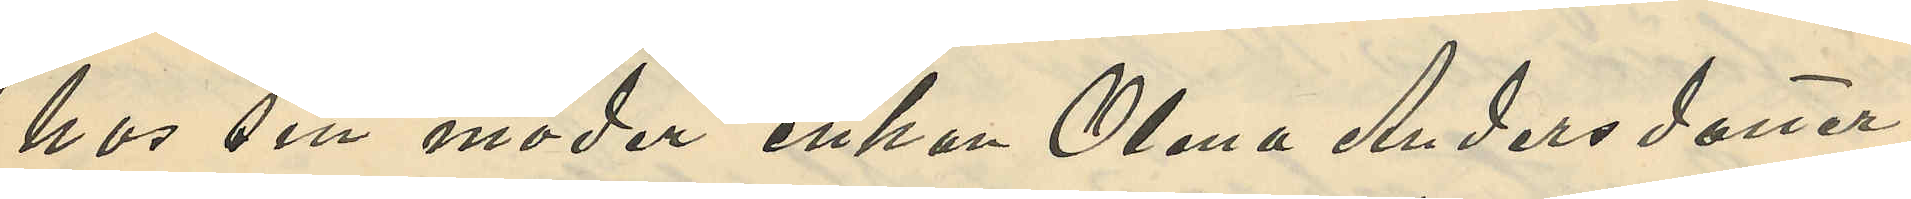hos sin moder enkan Olena Andersdotter
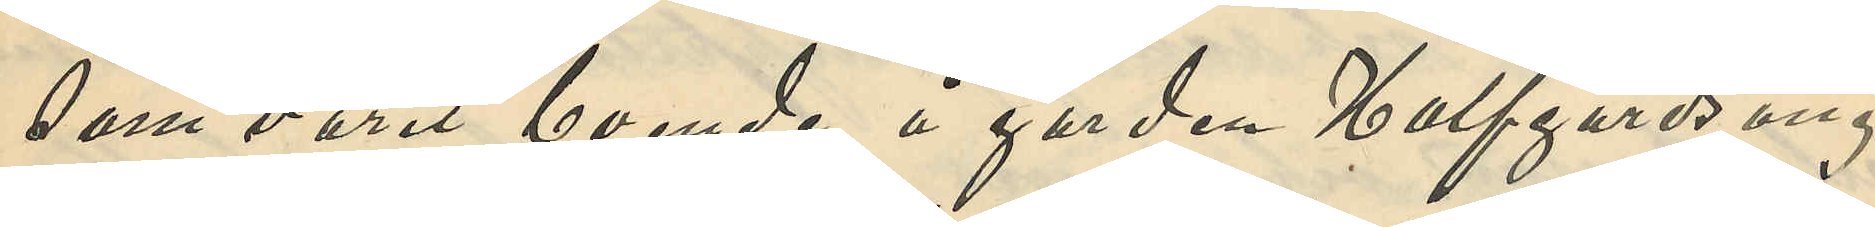som varit boende å gården Halfgårdsäng
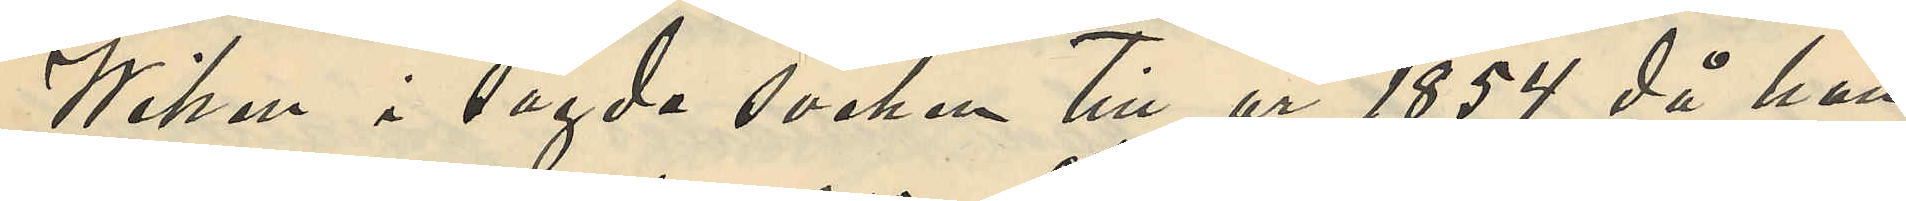Wiken i sagda socken till år 1854 då han
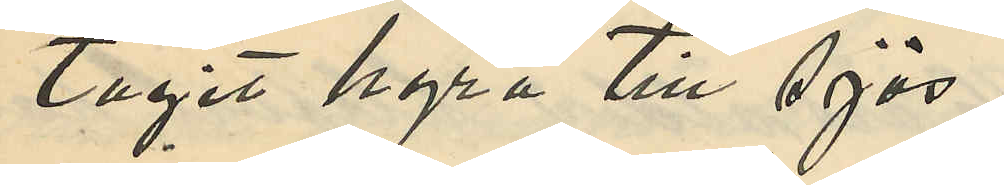tagit hyra till sjös;
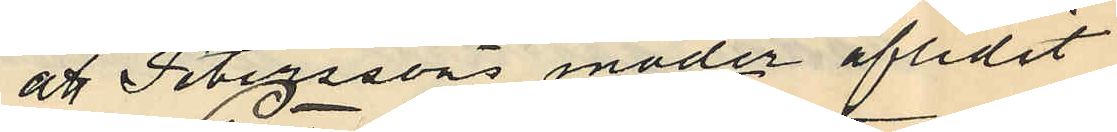att Peterssons moder aflidit
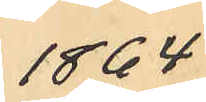1864
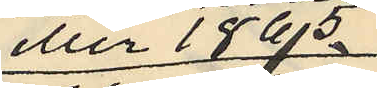eller 1865,
